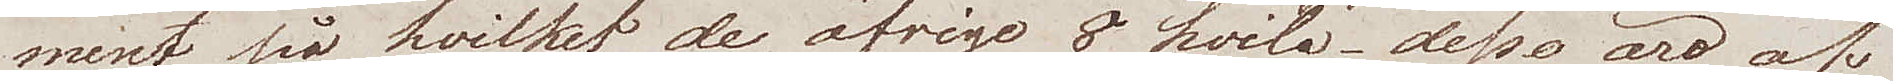ment på hvilket de öfrige 8 hvila, dessa äro af
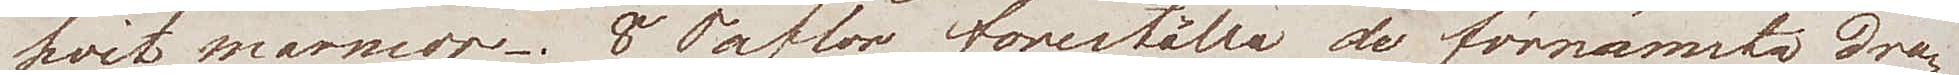hvit marmor. 8 Taflor föreställer de förnämsta dra¬
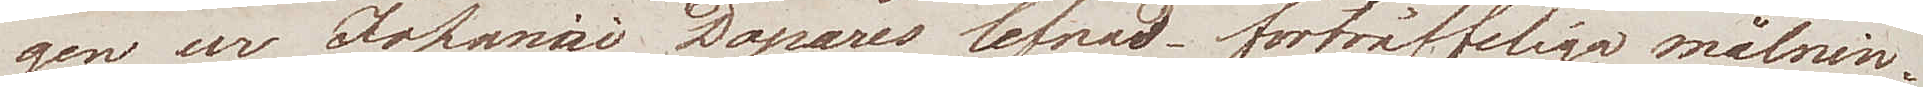gen ur Johanni Döpares lefnad, förträffliga målnin¬
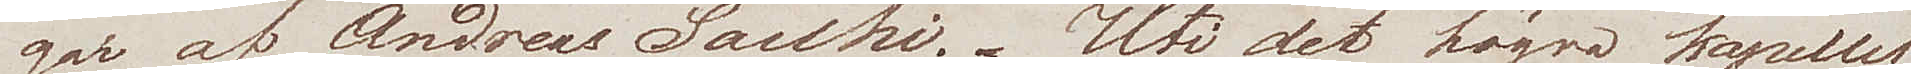gar af Andreas Sacchi. Uti det högra kapellet
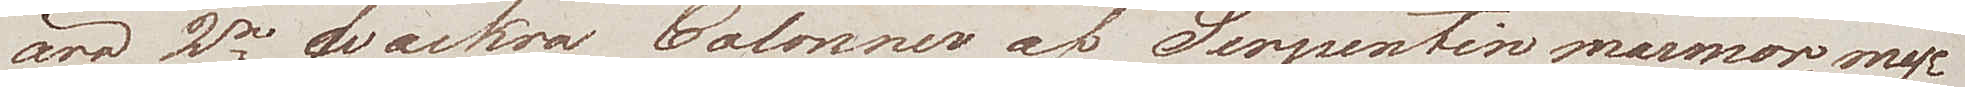äro 2  wackra Colonner af Serpentinmarmor, myc¬
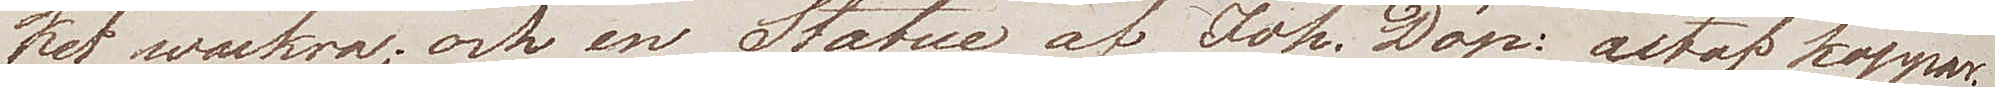ket wackra, och en Statue af Joh. Döp: utaf koppar.
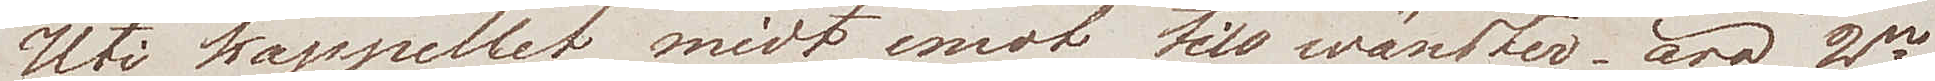Uti kapellet midt emot till wänster äro 2ne
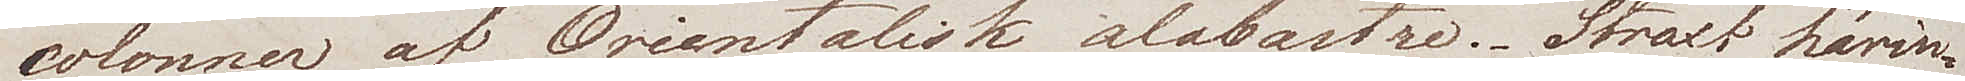colonner af Orientalisk alabastre. Straxt härin¬
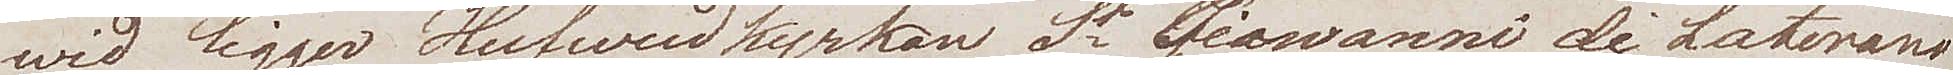wid ligger Hufvudkyrkan St Giovanni di Laterano,
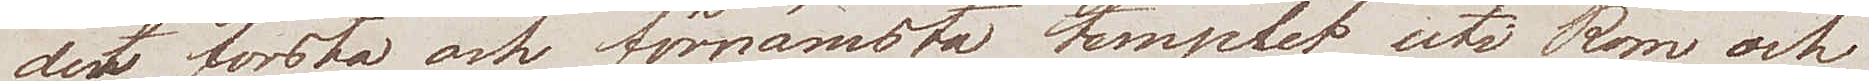det första och förnämsta kapellet uti Rom och
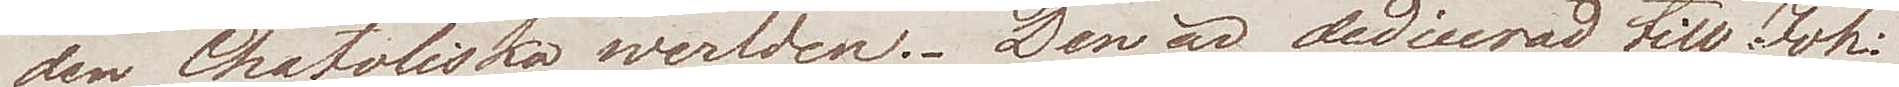den Chatoliska werlden. Den är dedicerad till Joh.
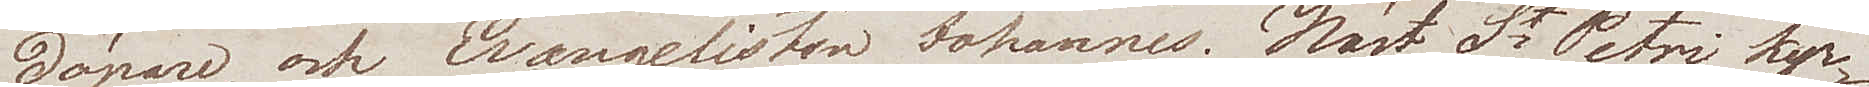Döpare, och Evangelisten Johannes. Näst St Petri kyr¬
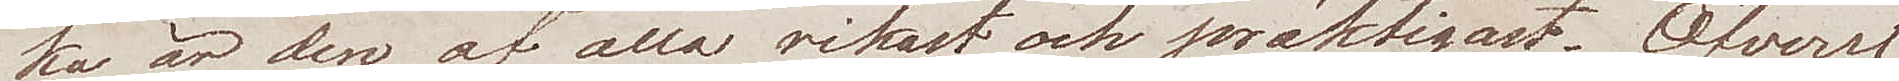ka är den af alla rikast och präktigast. Öfverst
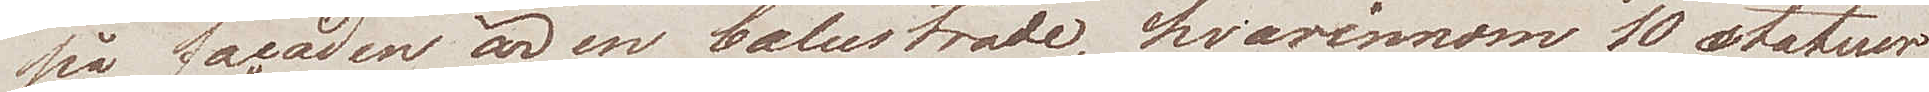på facaden är en balustrade, hvarinom 10 statuer
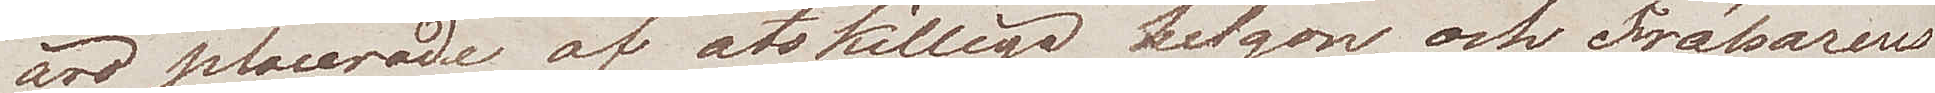äro placerade af åtskilliga helgon och Frälsaren
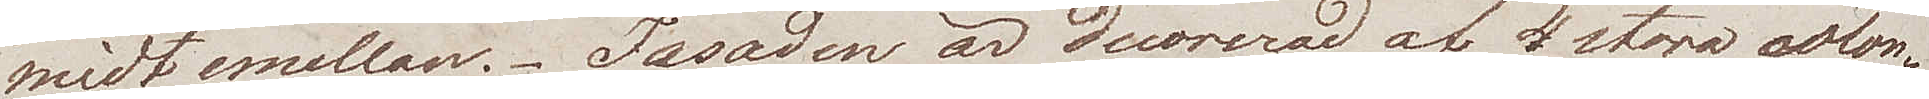midt emellan. Fasaden är decorerad af 4 stora colon¬
